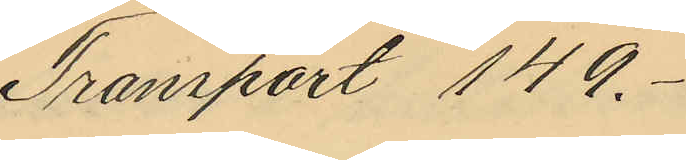Transport 149.-
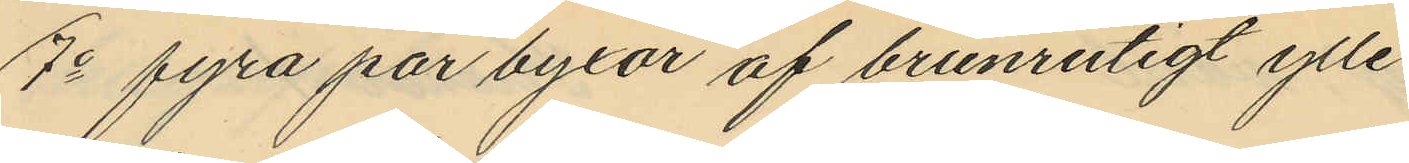7o fyra par byxor af brunrutigt ylle
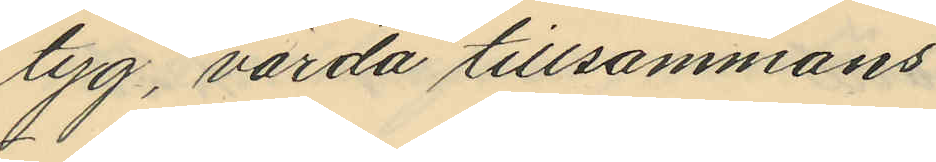tyg, värda tillsammans
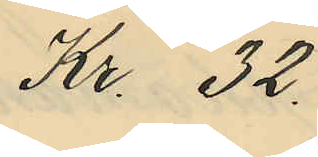Kr. 32
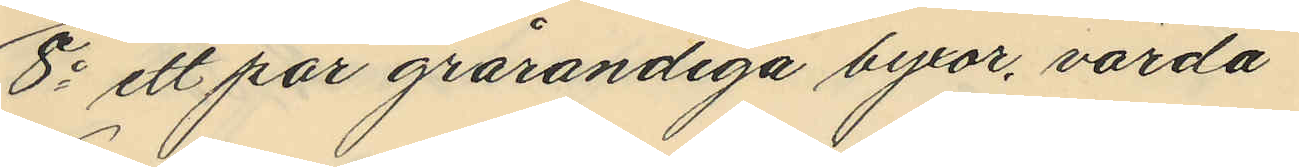8o ett par grårandiga byxor, värda
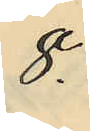8.
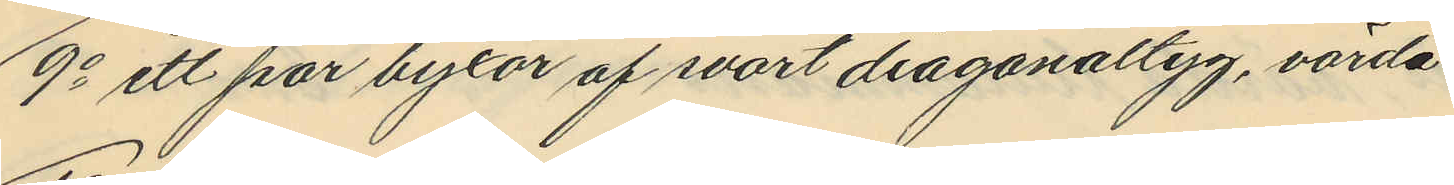9o ett par byxor af svart diagonaltyg, värda
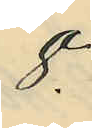8.-
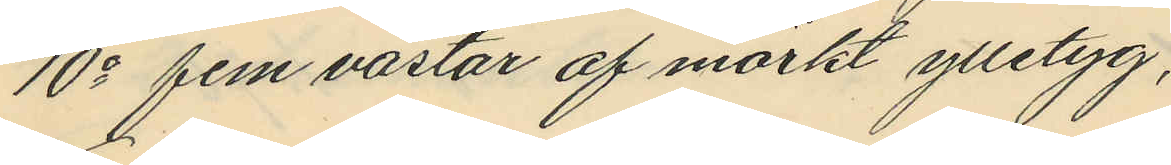10o fem västar af mörkt ylletyg,
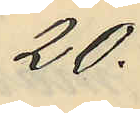20.-
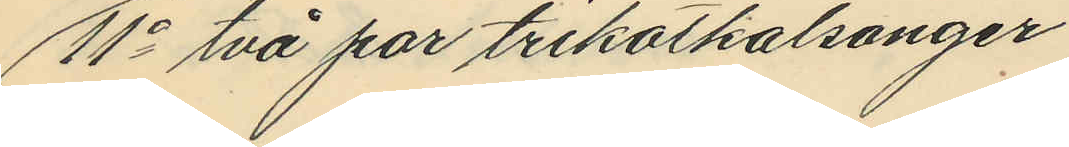11o två par trikotkalsonger
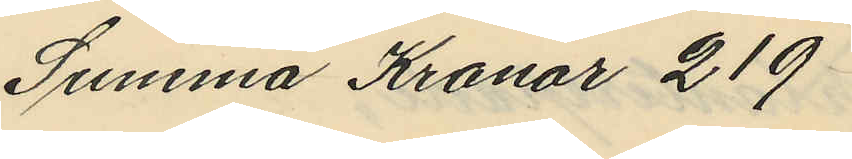Summa Kronor 219
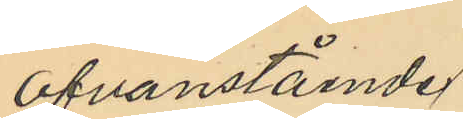Ofvanstående
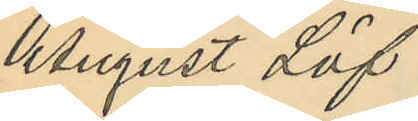August Löf
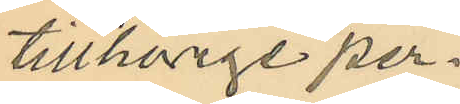tillhörige per¬
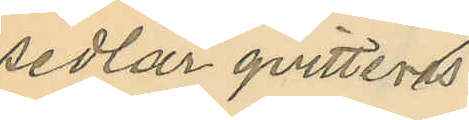sedlar qvitteras.
